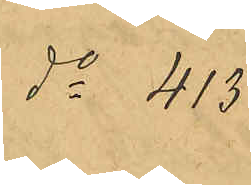do 413
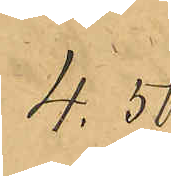4.50
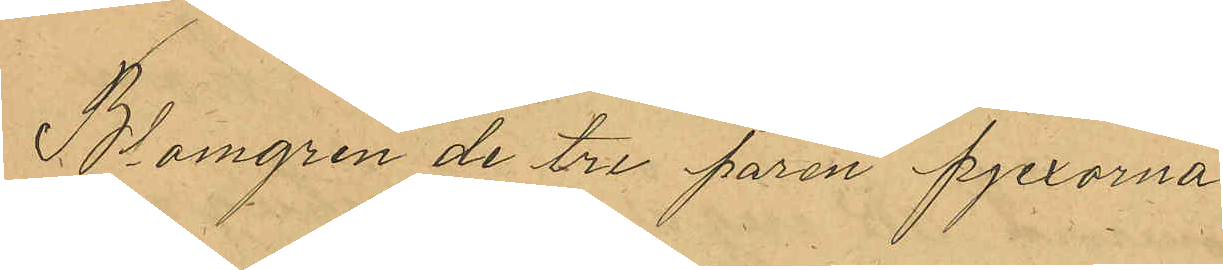Blomgren de tre paren pjexorna
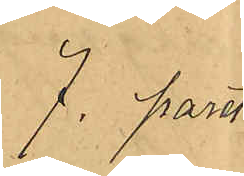7 paret
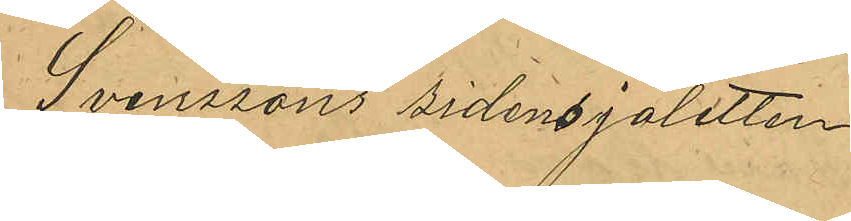Svenssons sidensjaletten
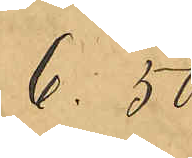6.50
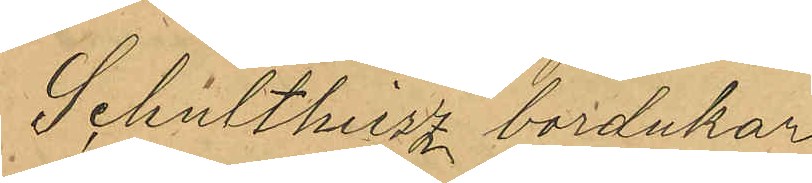Schultheiz borddukar
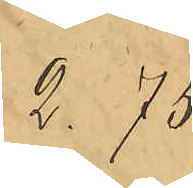2.75
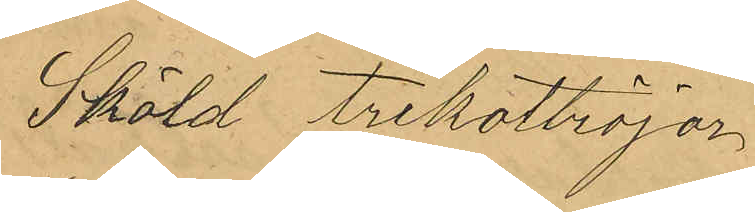Sköld Trikottröjor
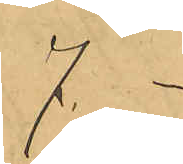7. -
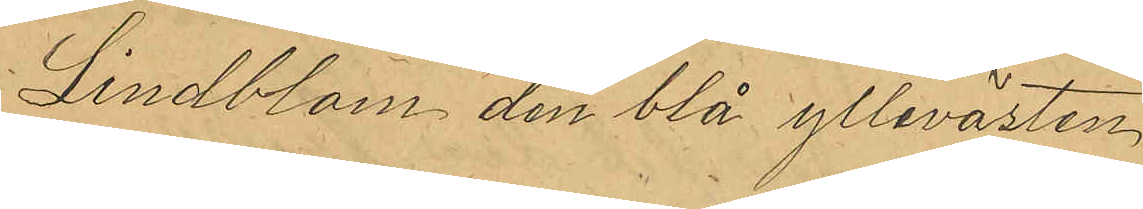Lindblom den blå yllevästen
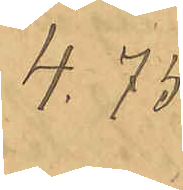4.75
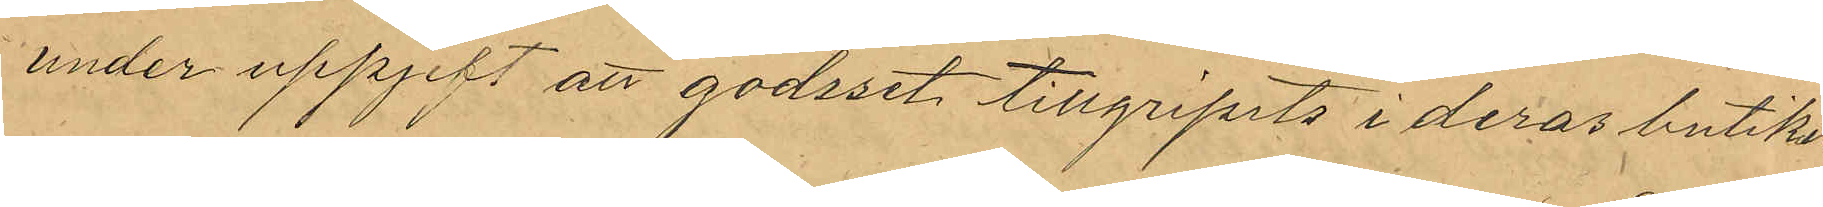under uppgift att godset tillgripits i deras butik,
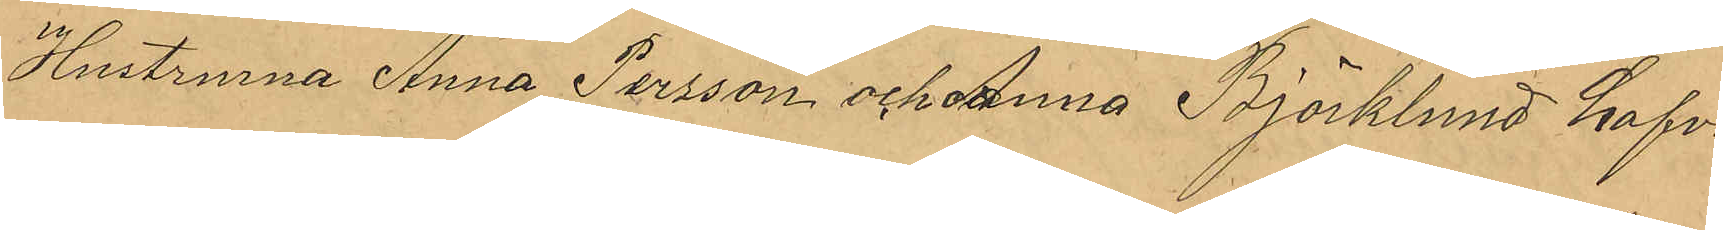Hustrurna Anna Persson och Anna Björklund hafva
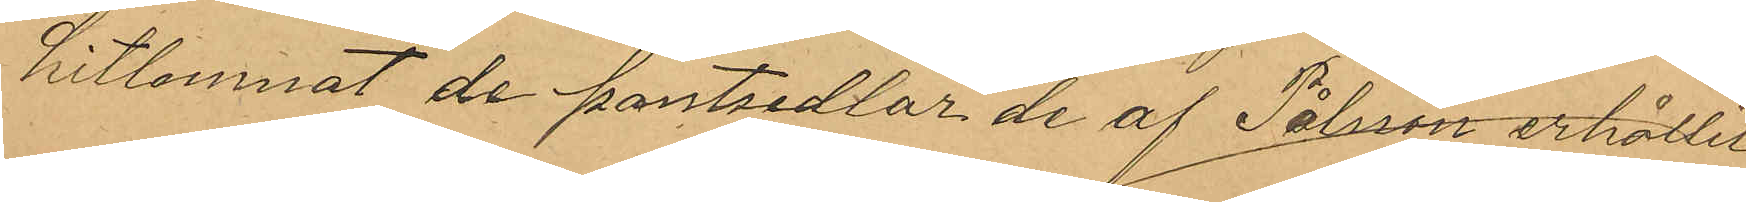hitlemnat de pantsedlar de af Pålsson erhållit
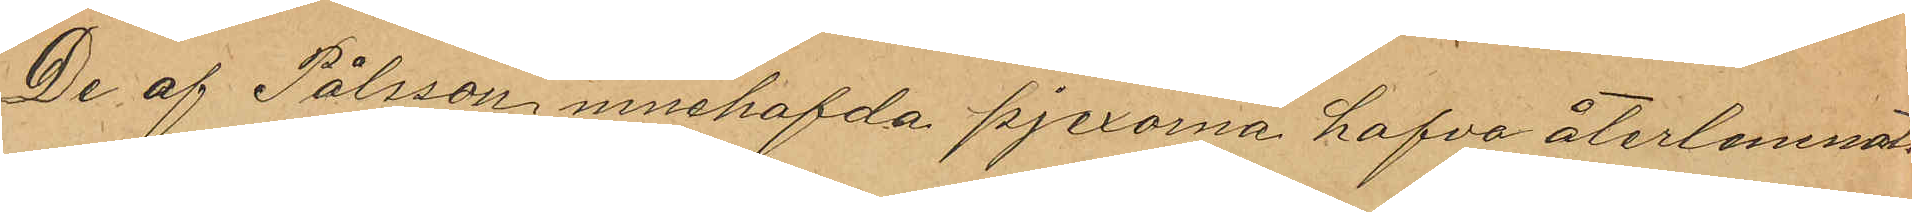De af Pålsson innehafvda pjexorna hafva återlemnats
